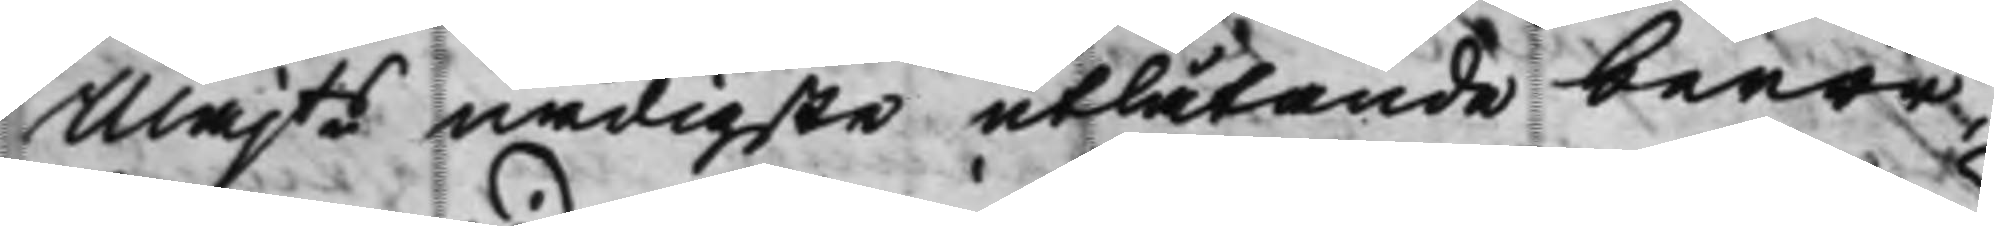Majts nådigste utlåtande beror,
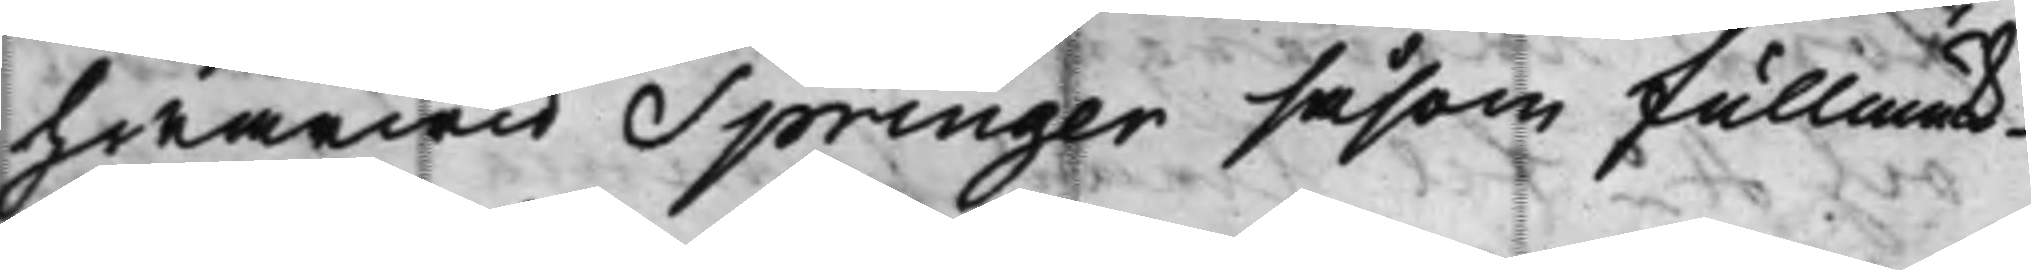hwarwid Springer såsom fullmäk¬
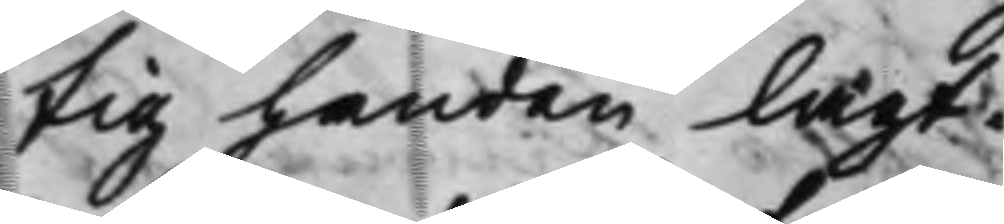tig handen lagt.
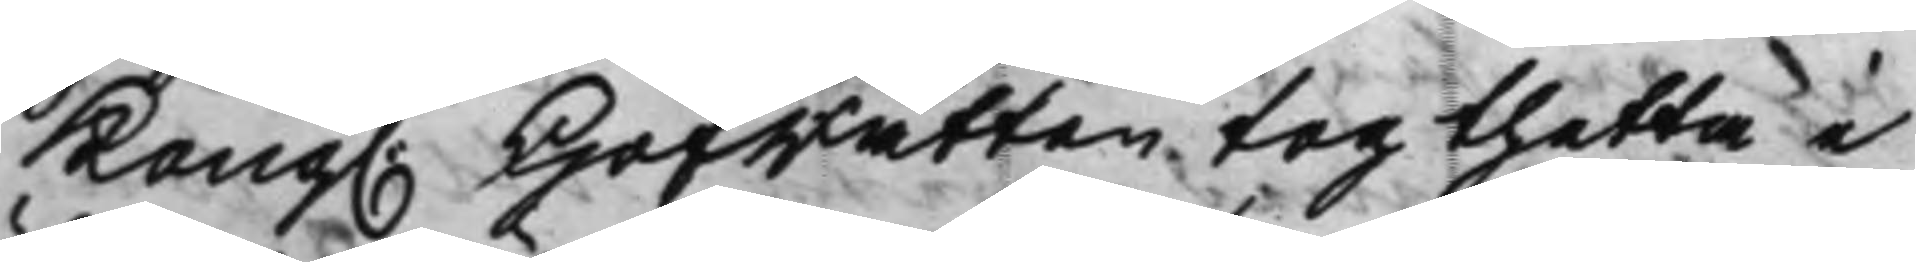Kong. Hofrätten tog thetta i
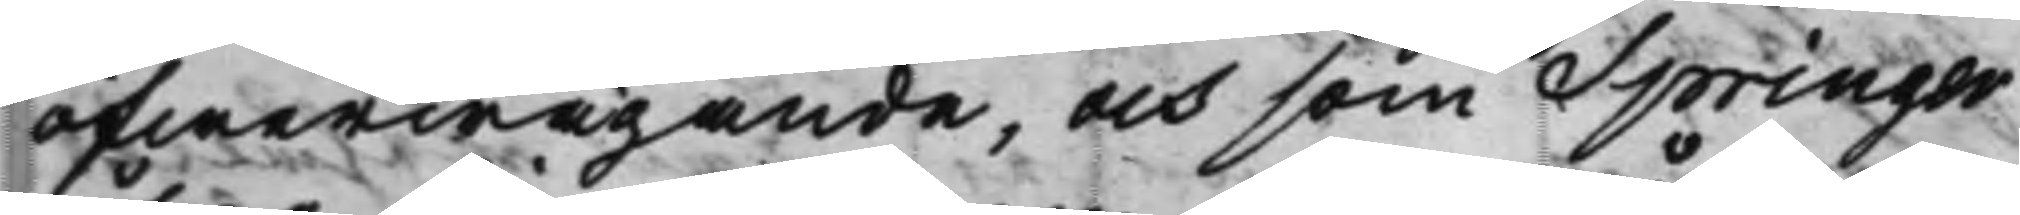öfwerwägande, och som Springer
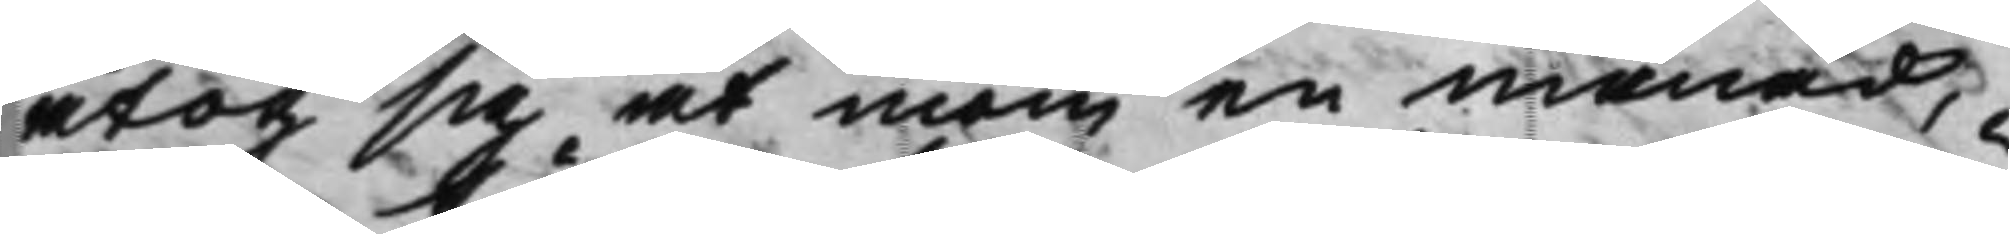åtog sig at inom en månad,
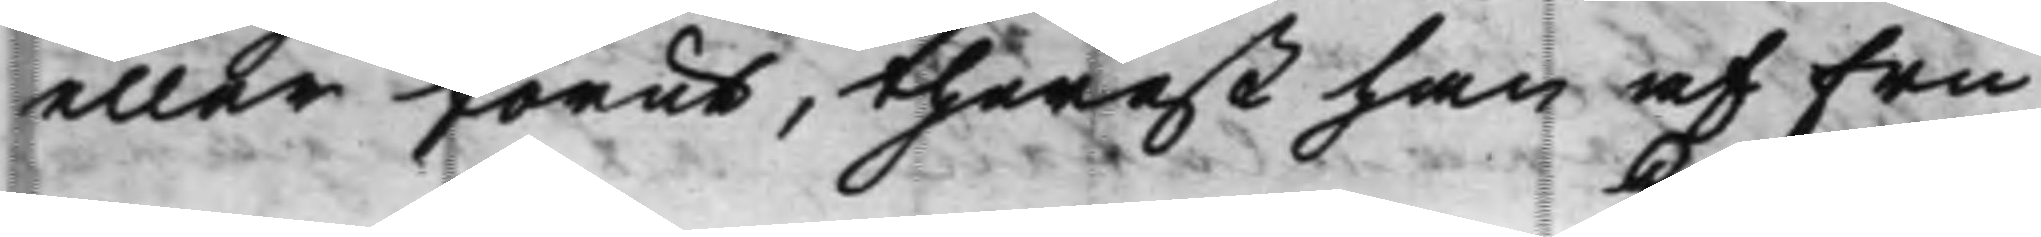eller förut, therest han af Fru
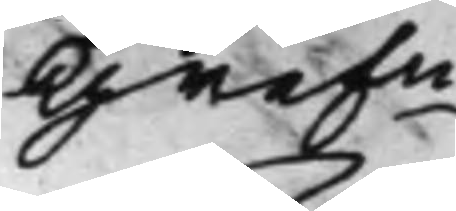Grefn
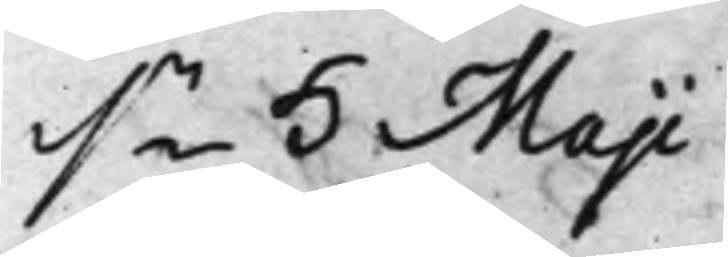d.n 5 Maji
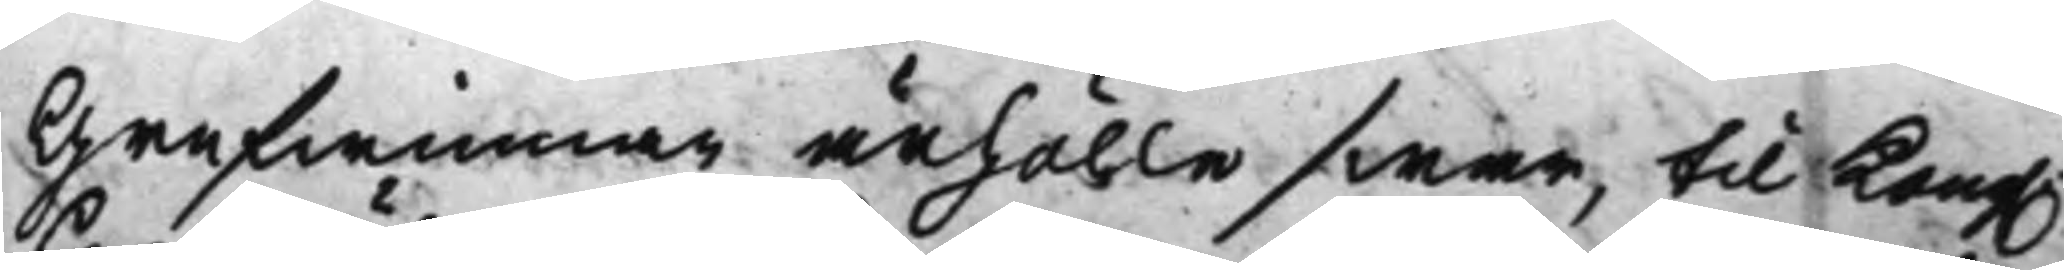Grefwinnan ärhölle swar, til Kong.
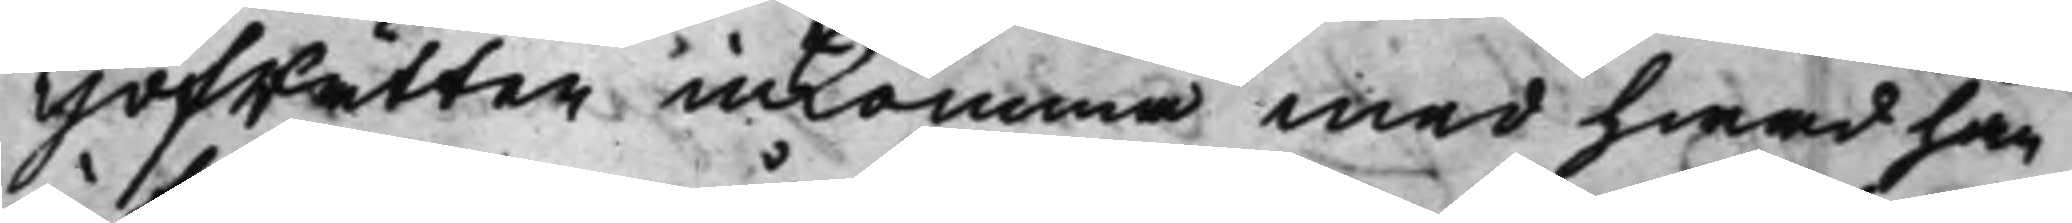Hofrätten inkomma med hwad han
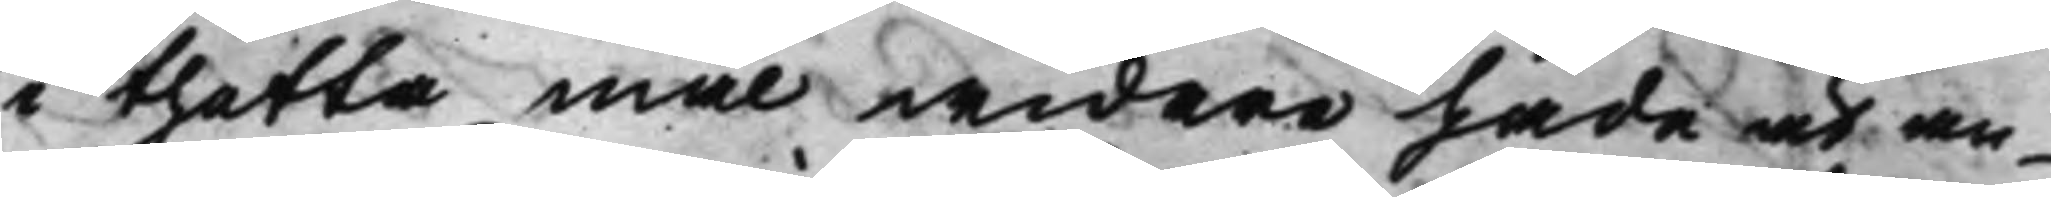i thetta mål widare hade at an¬
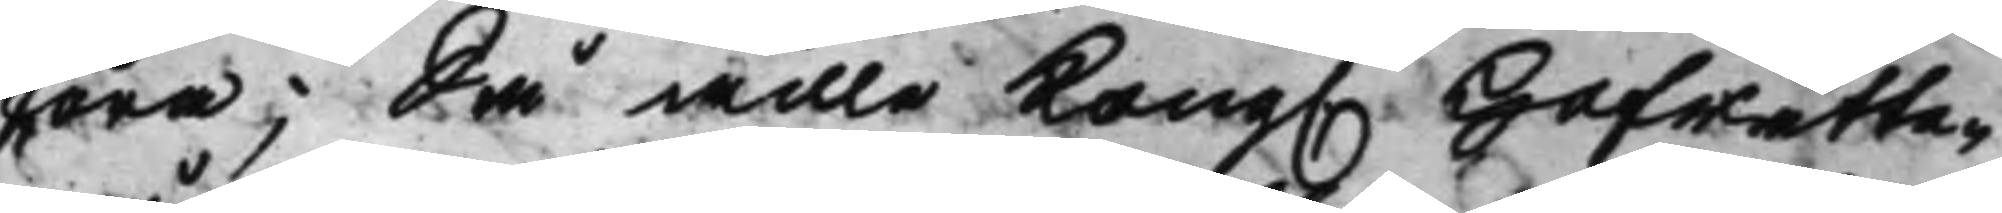föra; Så wille Kong. Hofrätten
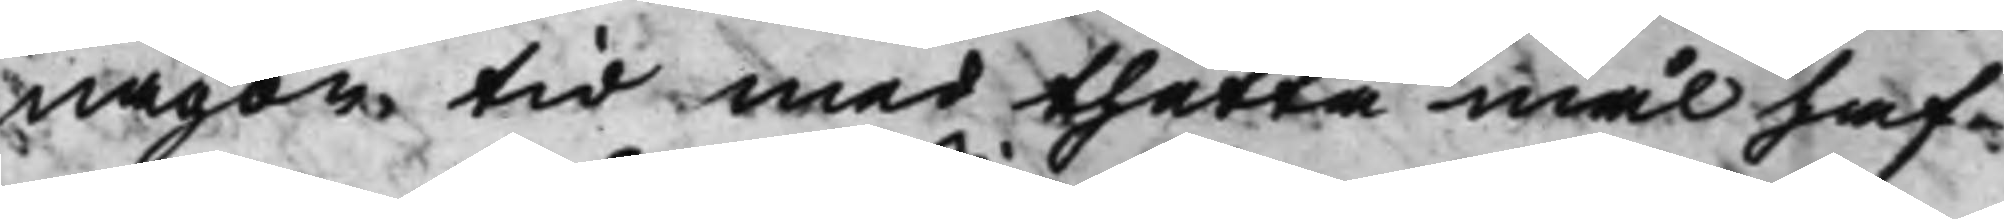någon tid med thetta mål haf¬
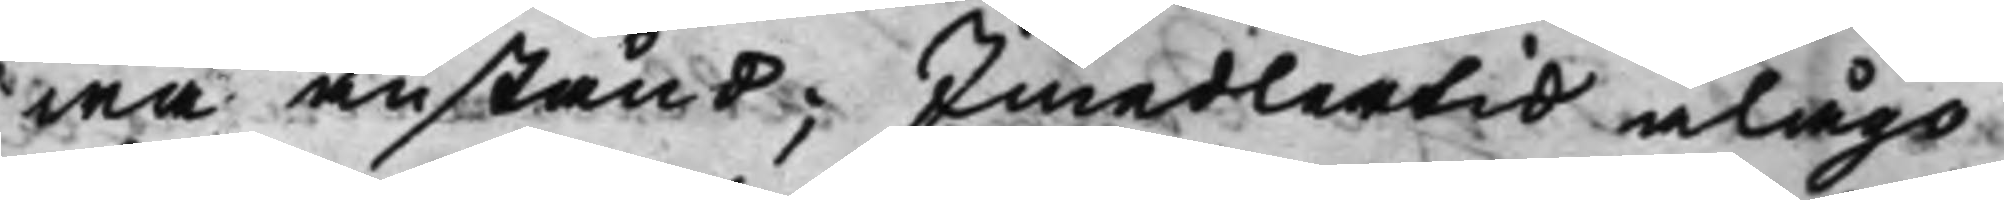wa anstånd; Imedlertid ålågo
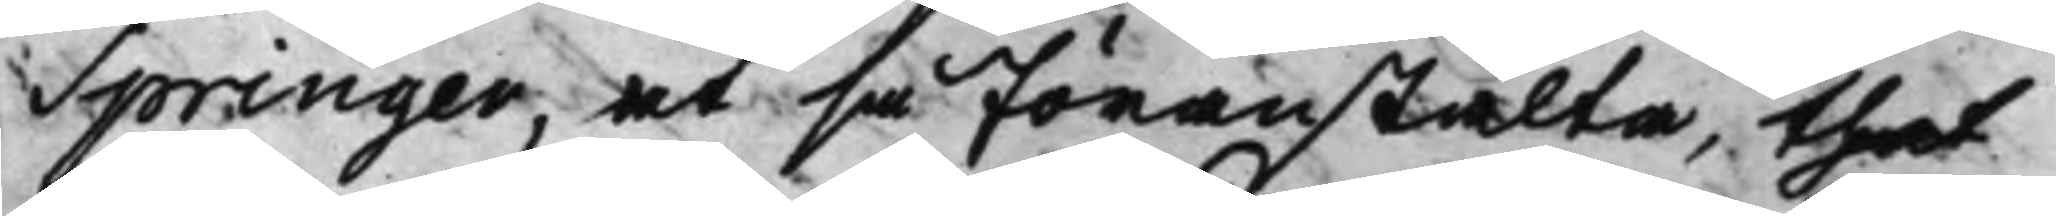Springer, at så föranstalta, thet
